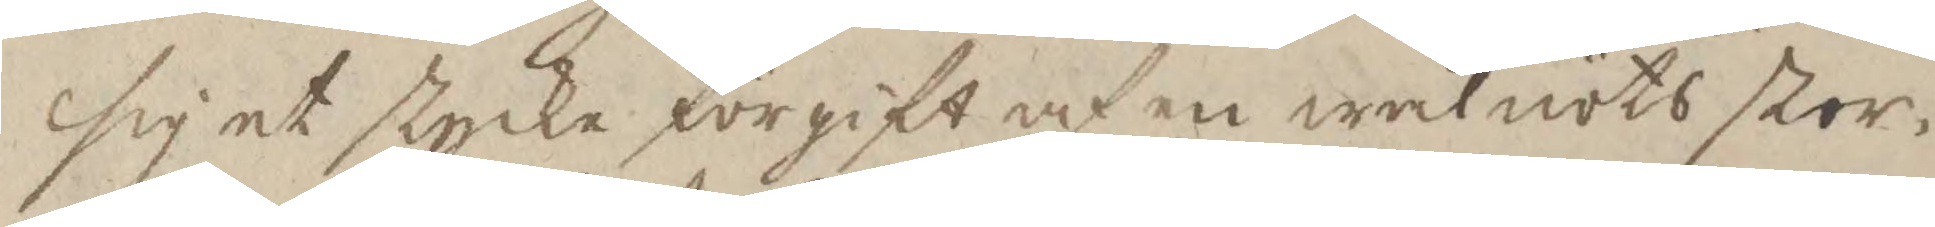sig et stycke förgift af en walnöts stor¬
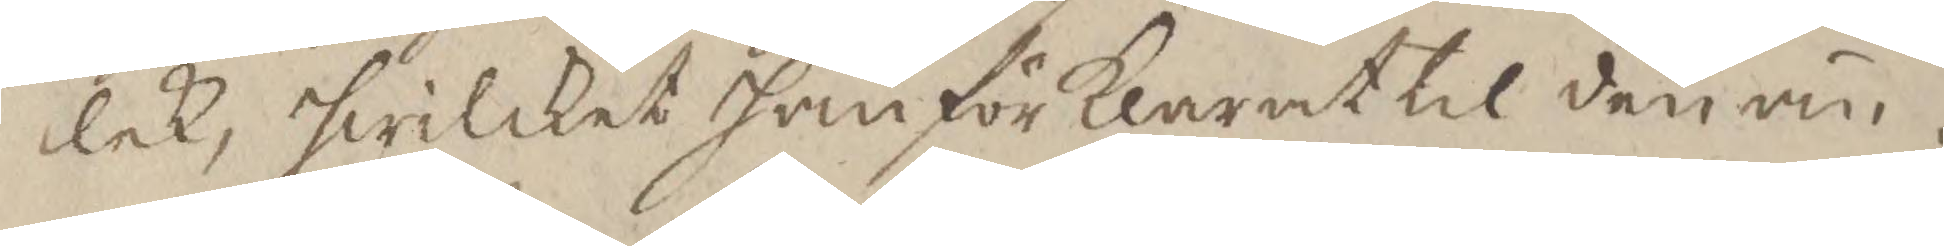lek, hwilket han förklarat til den än¬
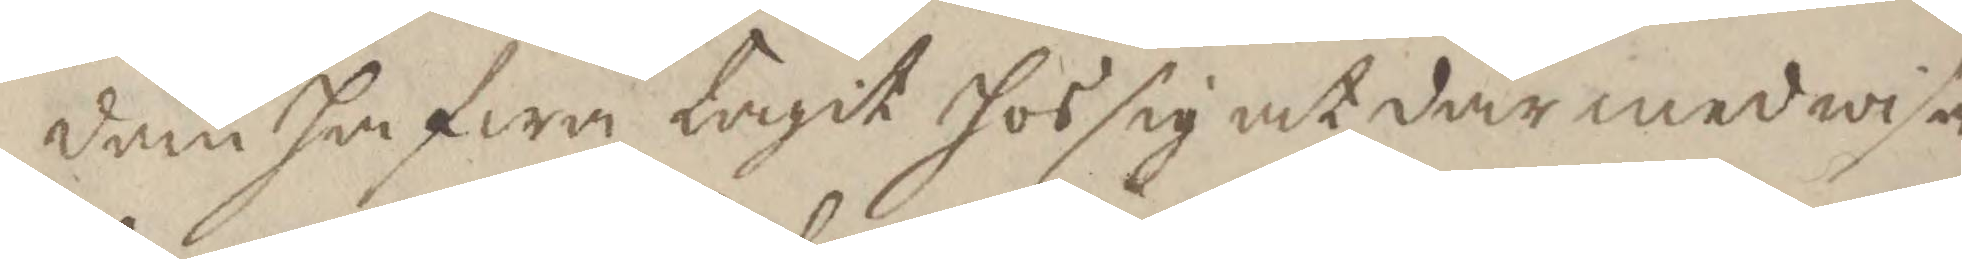dan hafwa tagit hos sig at där medwisa
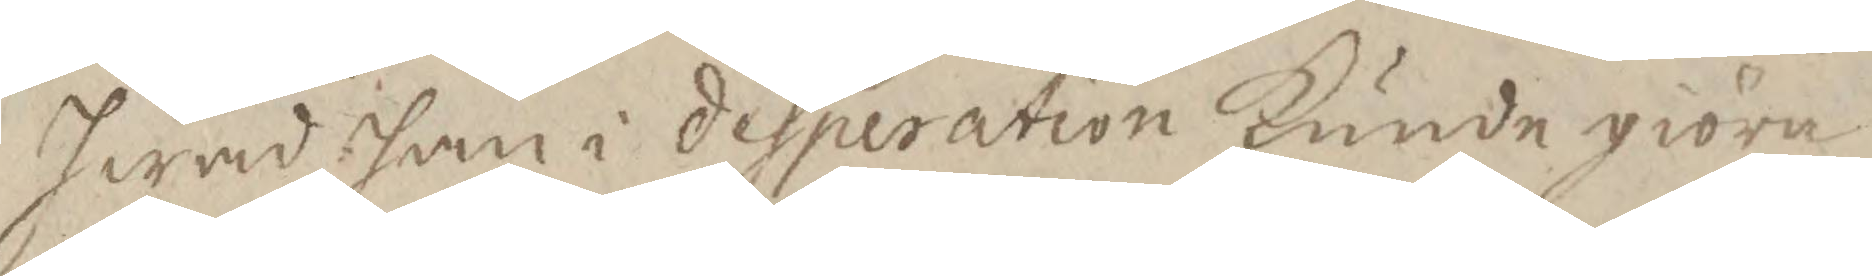hwad han i desperation kunde giöra.
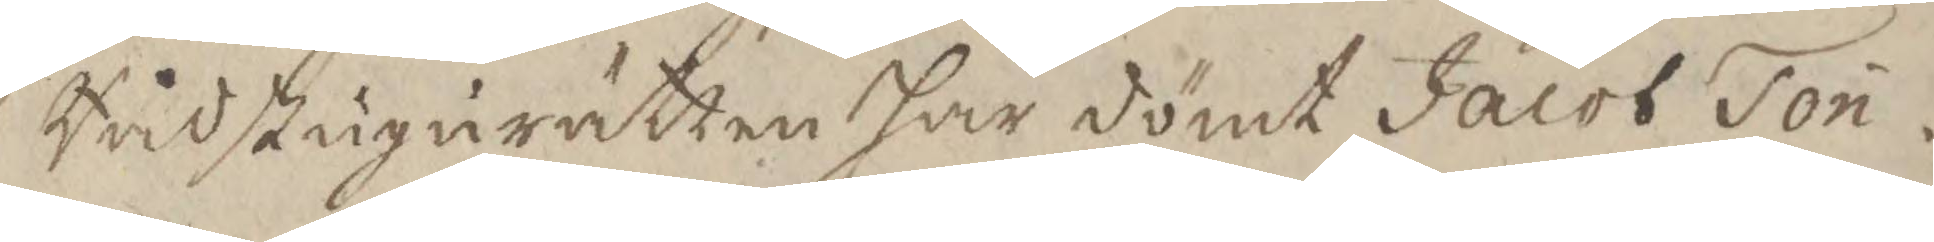Rådstugurätten har dömt Jacob Tön¬
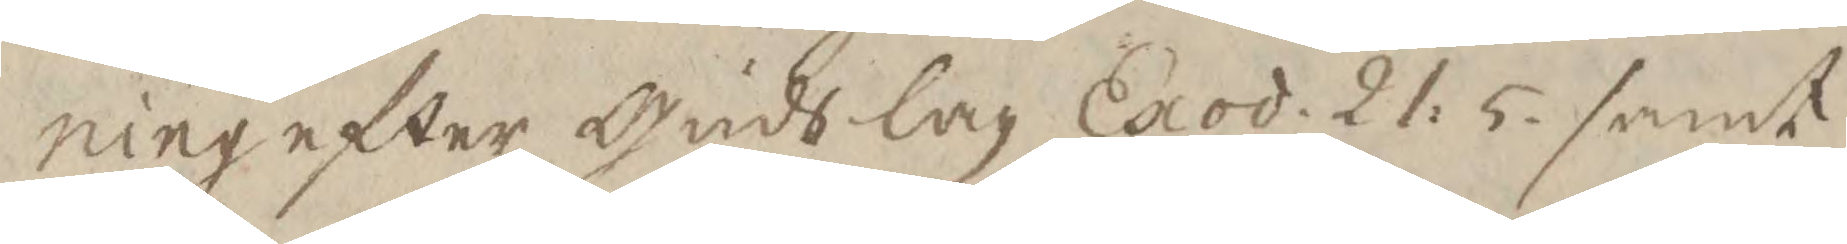ning efter Guds lag Exod. 21. 5. samt
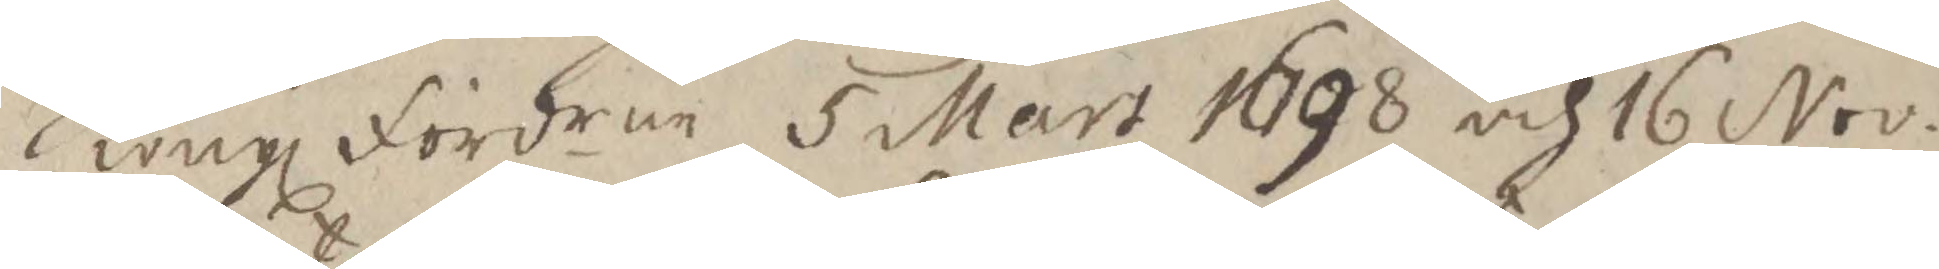Kungl fördren 5 Mart 1698 och 16 Nov.
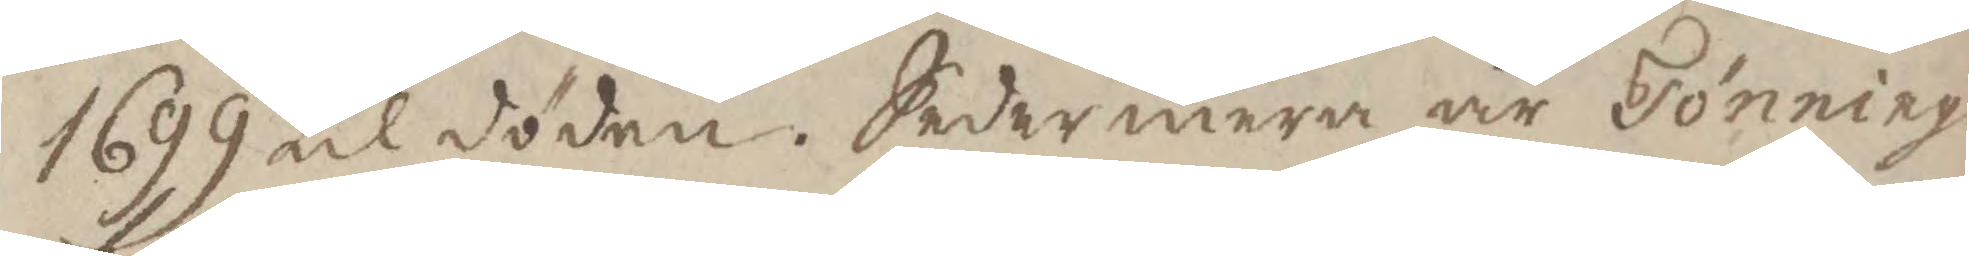1699 til döden. Sedermera är Tönnings
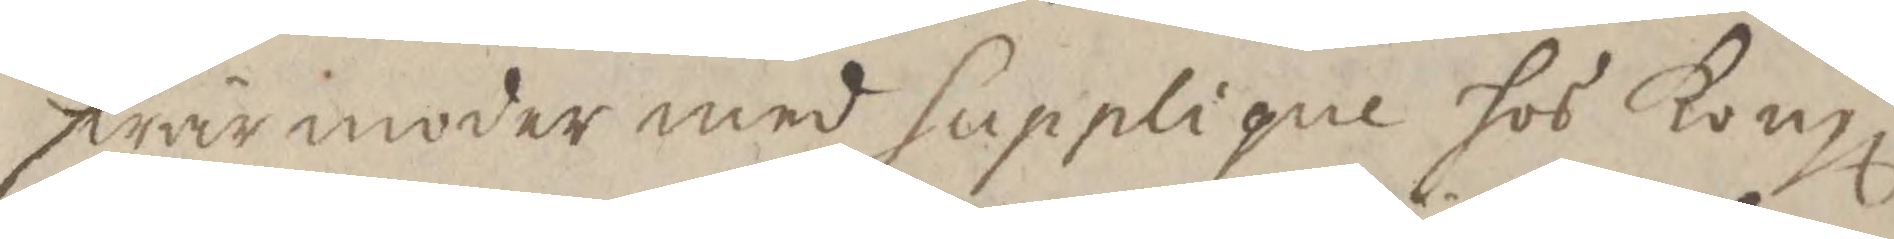swärmoder med supplique hos Kongl
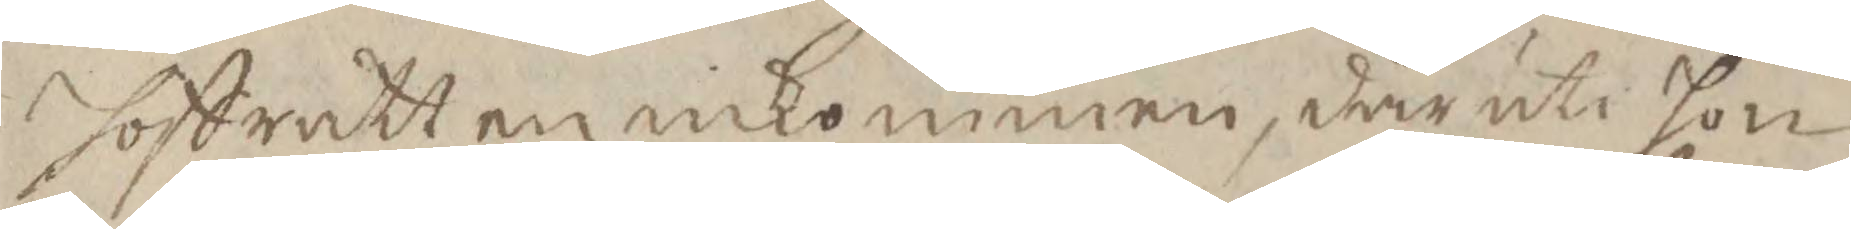hoffrätten inkommen, där uti hon
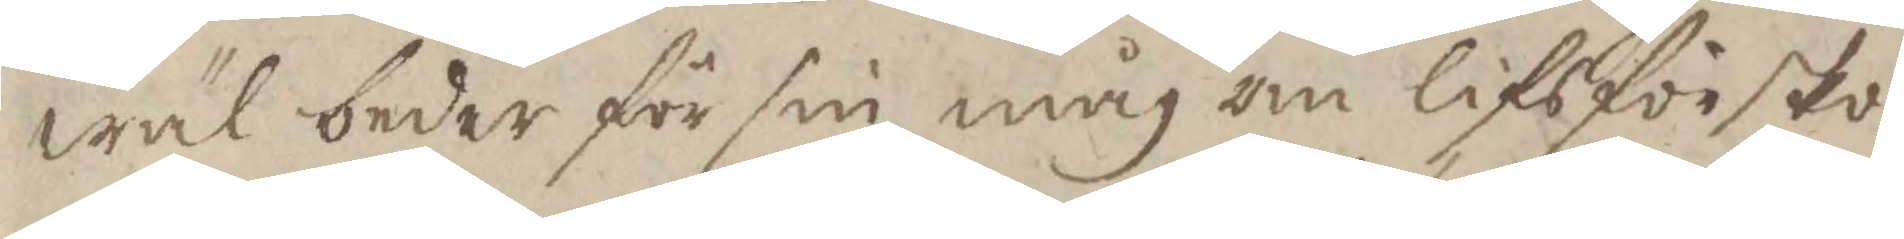wäl beder för sin måg om lifs försko¬
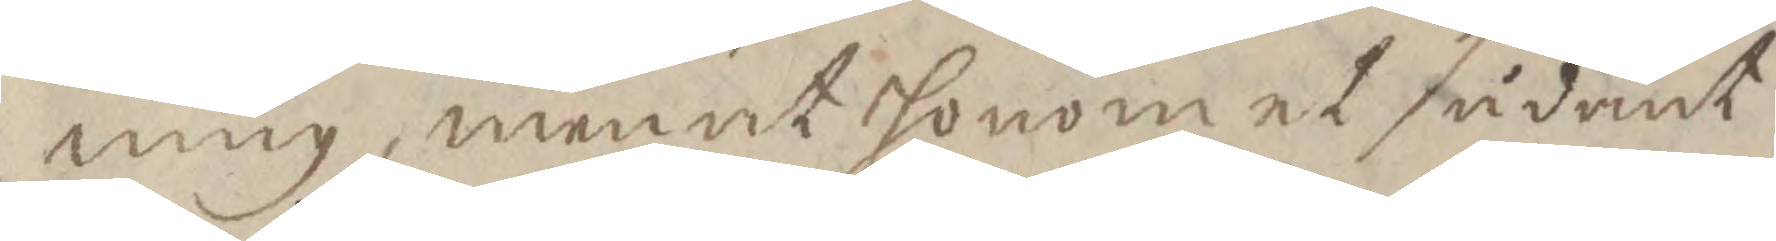ning, men at honom et sådant
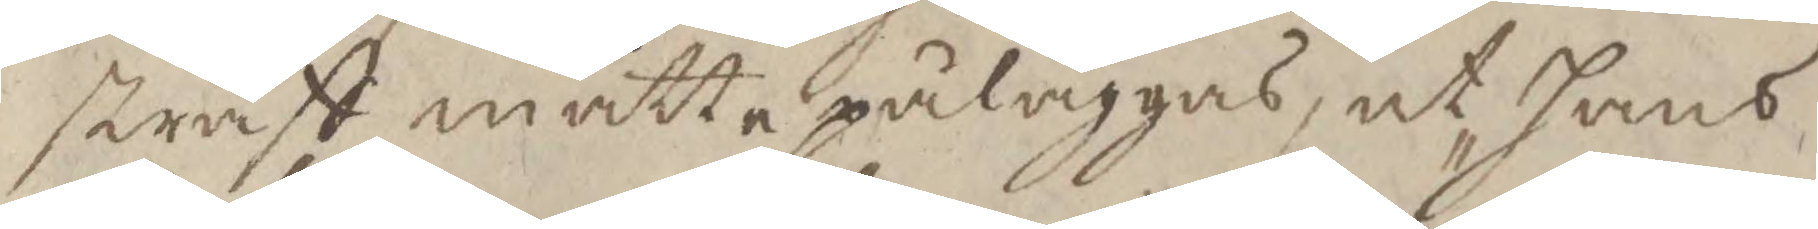straff måtte påläggas, at hans
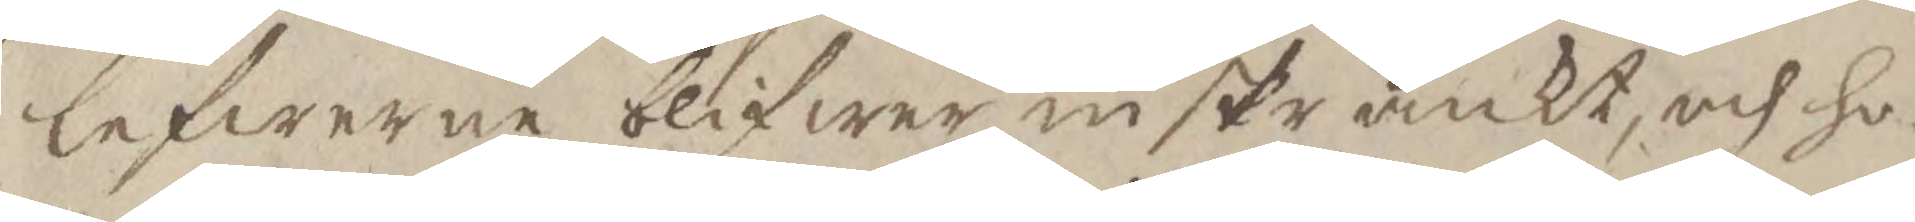lefwerne blifwer inskränkt, och ho¬
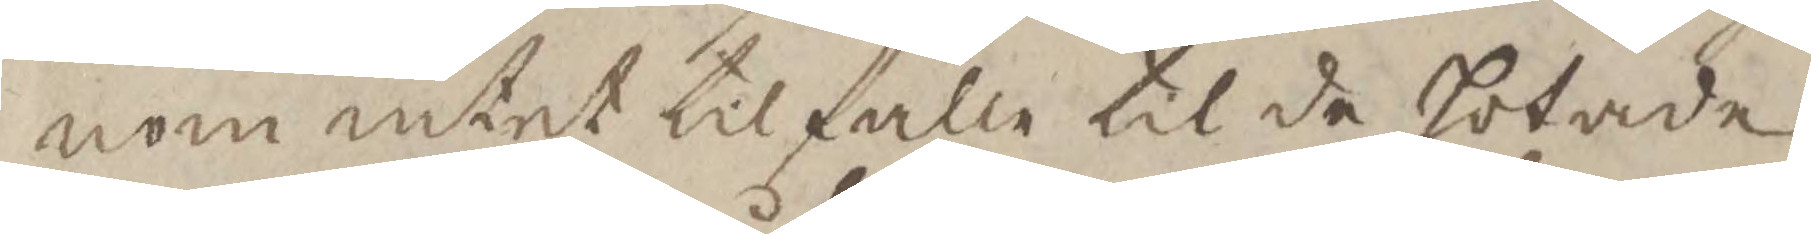nom intet tilfälle til de hotade
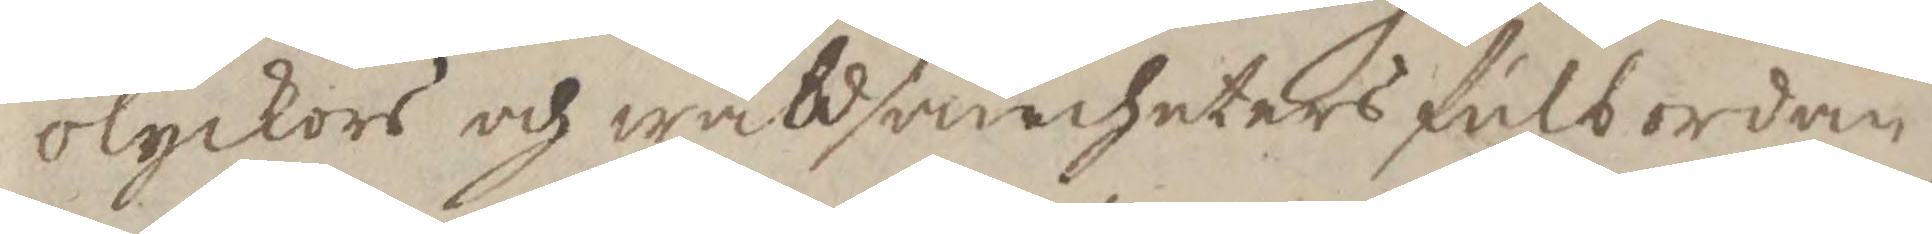olyckors och wåldsamheters fulbordan¬
